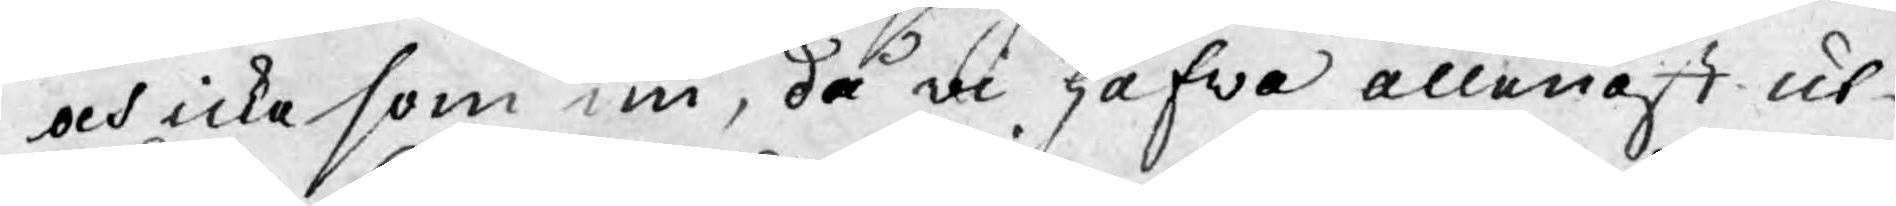och icke som nu, då wi gifwa allenast ut¬
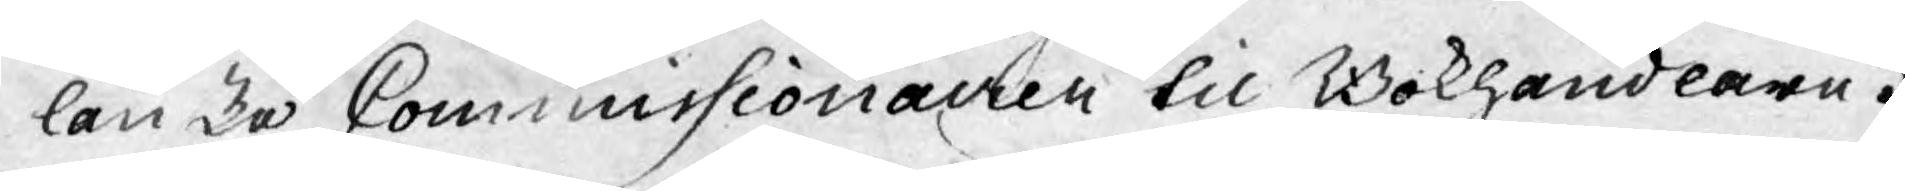länske Commissionairer til Bokhandlare.
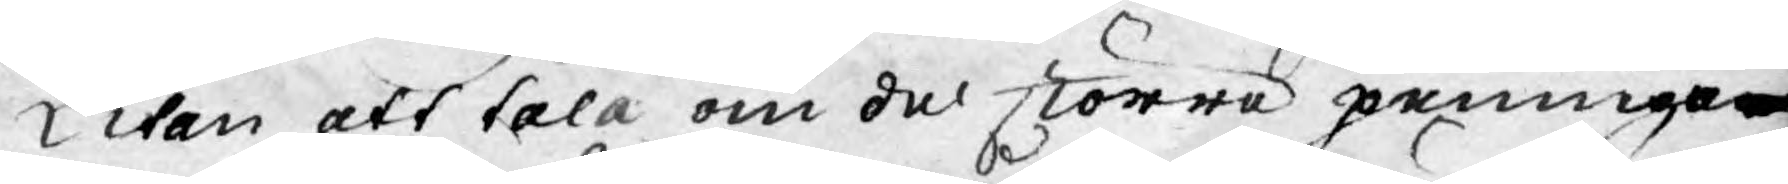Utan att tala om de större penninge¬
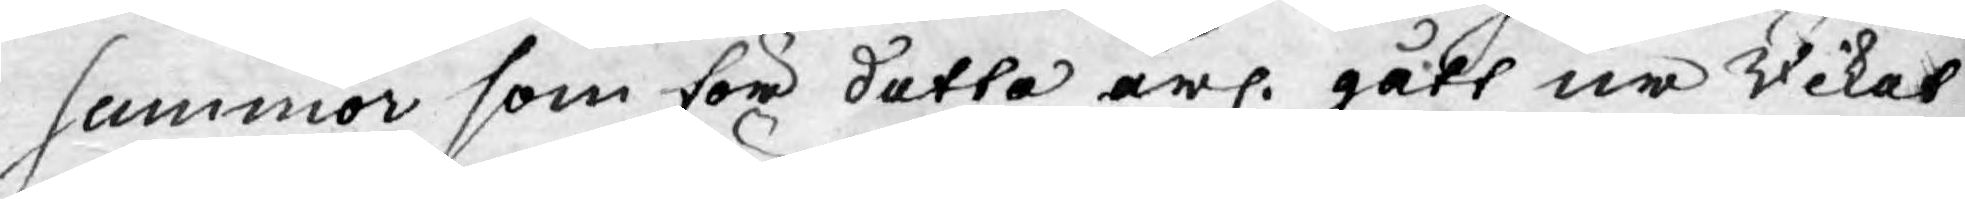summor som för detta årl. gått ur Riket
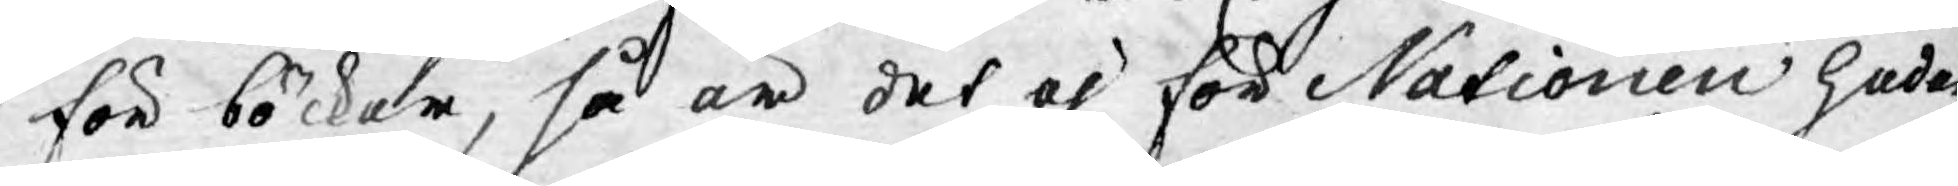för böcker, så är det ej för Nationen heder¬
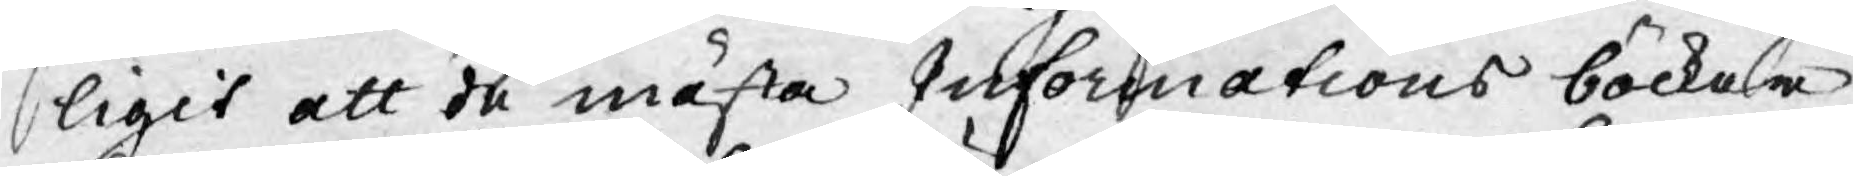ligit att de mästa Informations böckerna
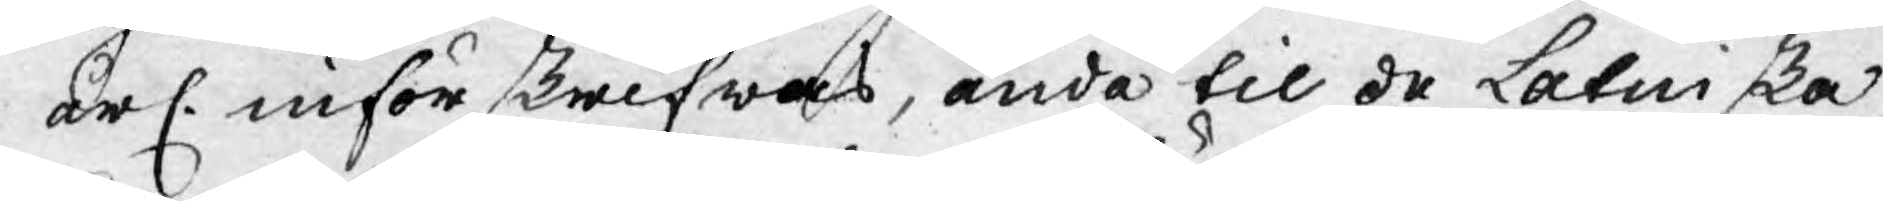årl. införskrifwas, ända til de Latinska
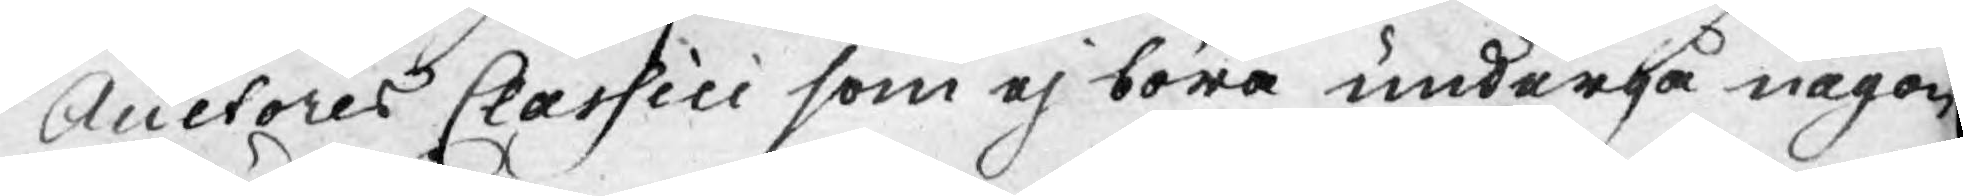Auctores Classici som ej böra undergå någon
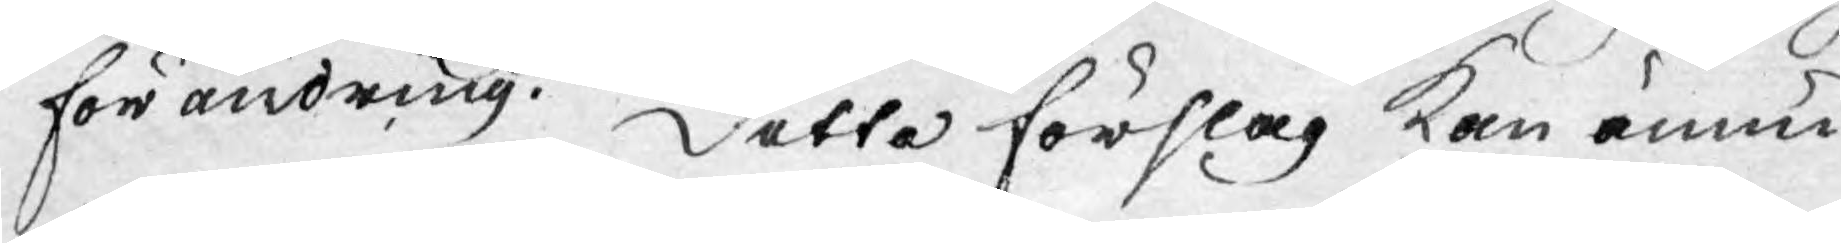förändring. Detta förslag kan ännu
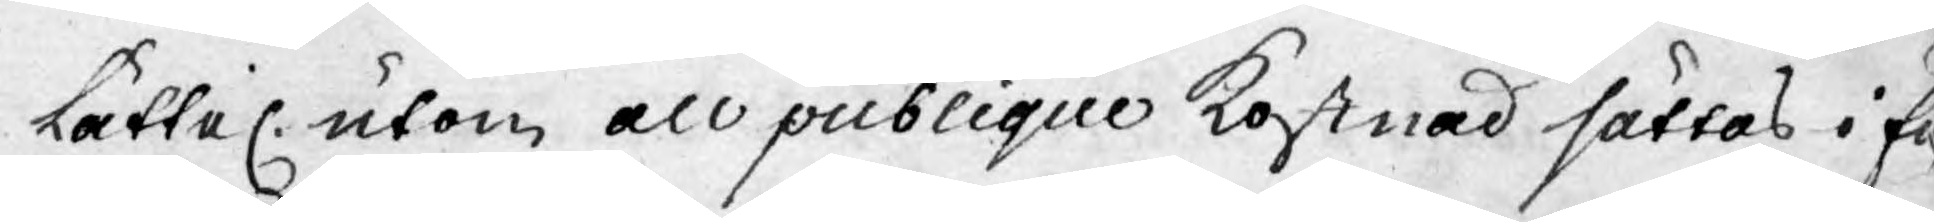lättel. utan all publique kostnad sättas i full
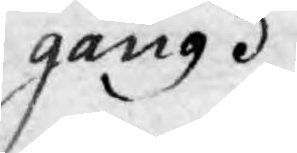gång.
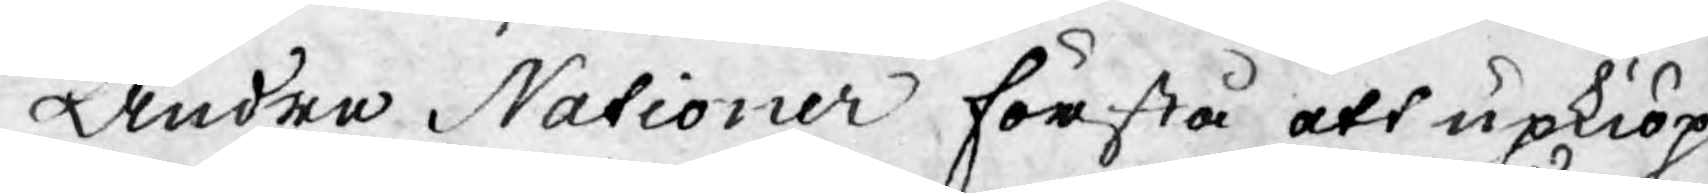Andra Nationer förstå att upkiöpa
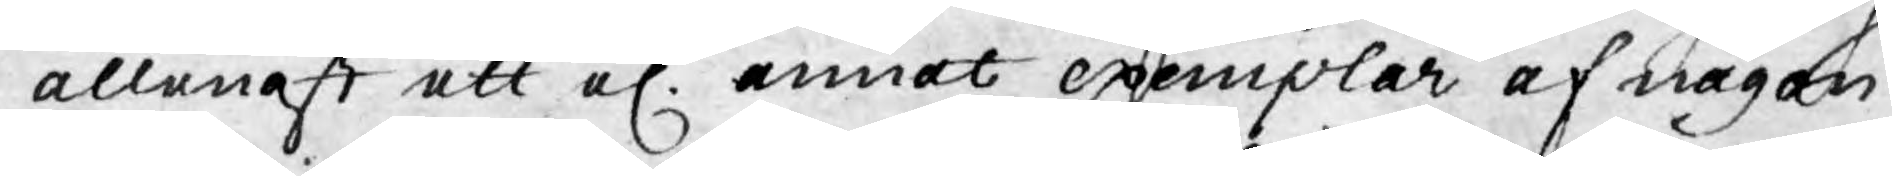allenast ett el. annat exemplar af någon
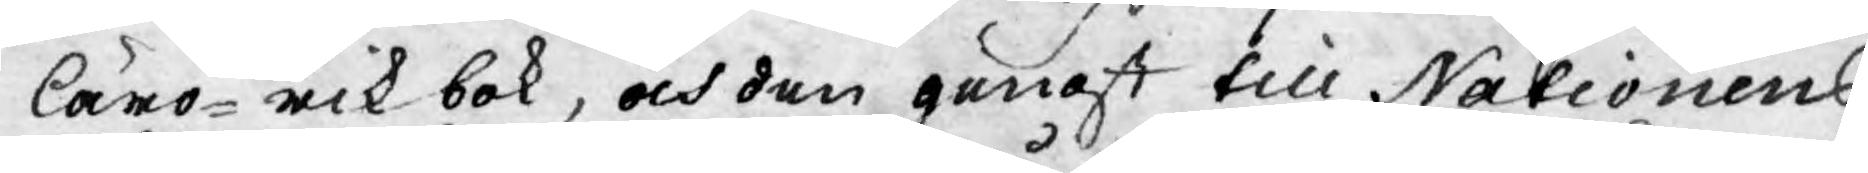läro-rik bok, och den genast till Nationens
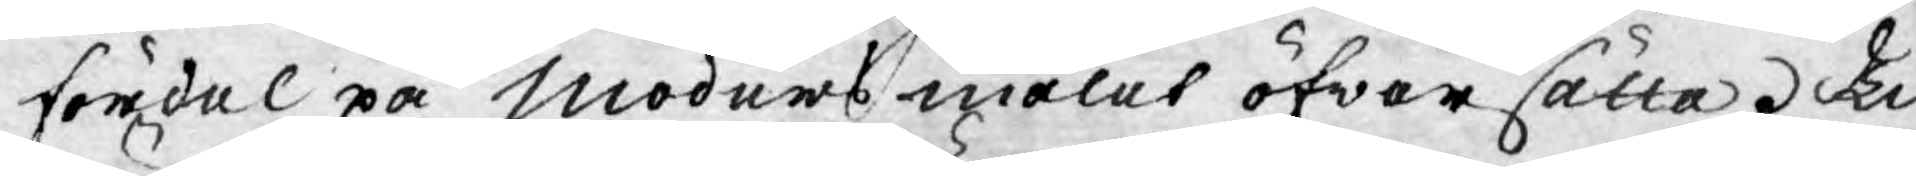fördel på modersmålet öfwersätta. Till
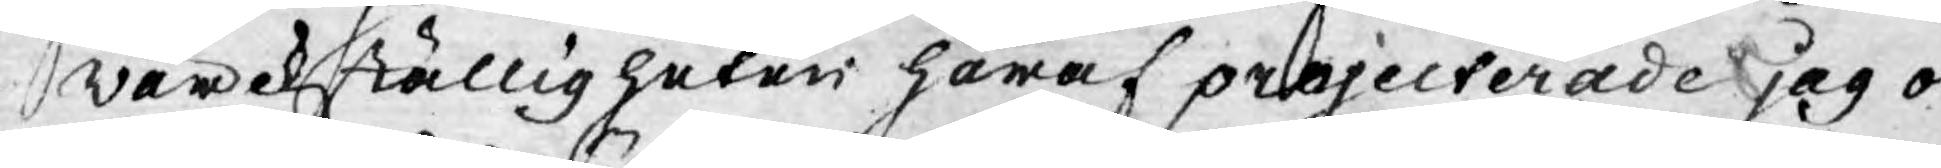wärckställigheten häraf projecterade jag ock
